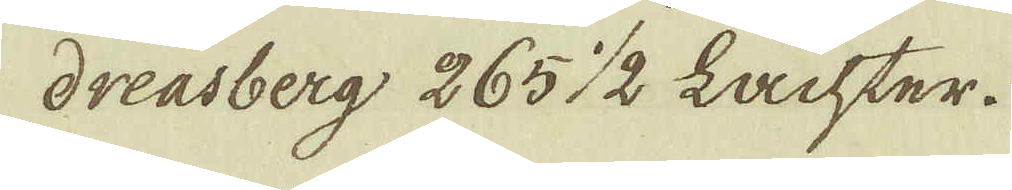dreasberg 265 1/2 Lachter.
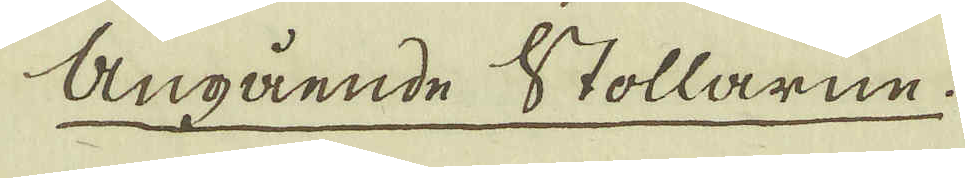Angående Stollarne.
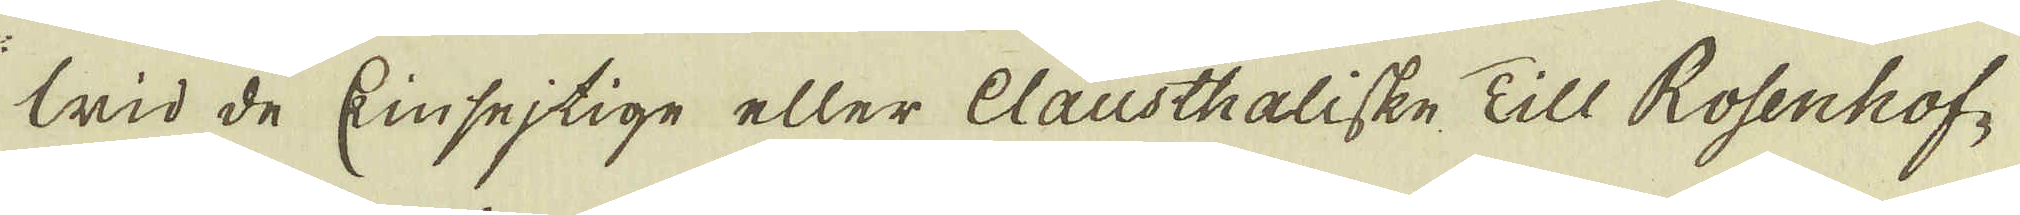Wid de Kinsejtige eller Clausthaliske Till Rosenhof-
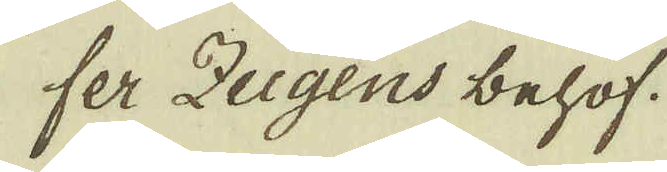fer Zugens behof.
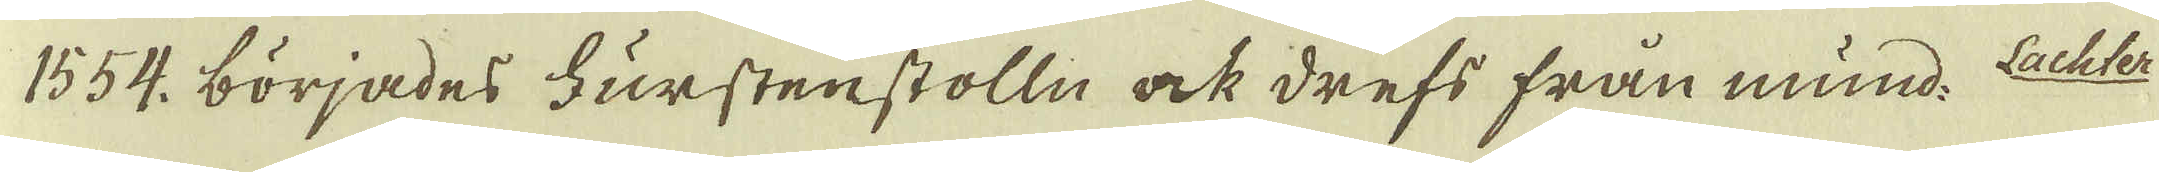1554. börjades Furstenstolln ock drefs från mund. Lachter
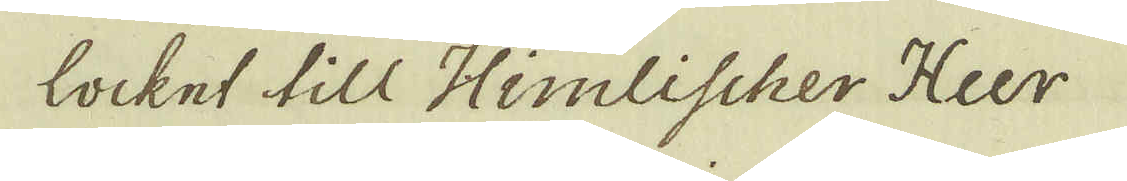locket till Himlischer Heer
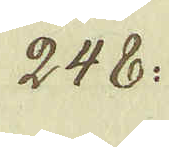248:
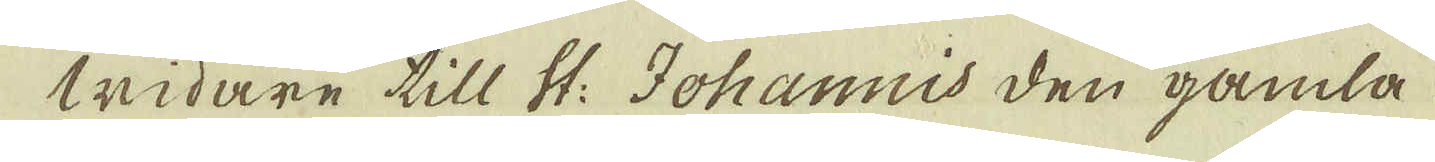widare till St: Johannis den gamla
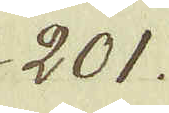201.
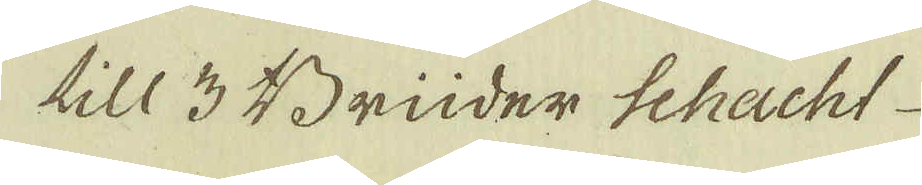till 3 Brüder Schacht
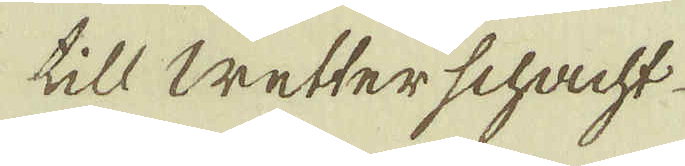till Wetterschacht.
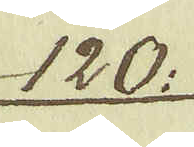120:
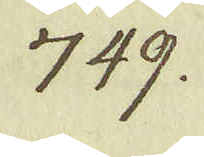749.
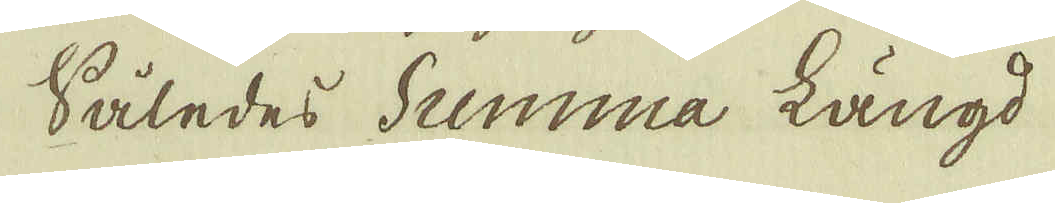Således Summa längd
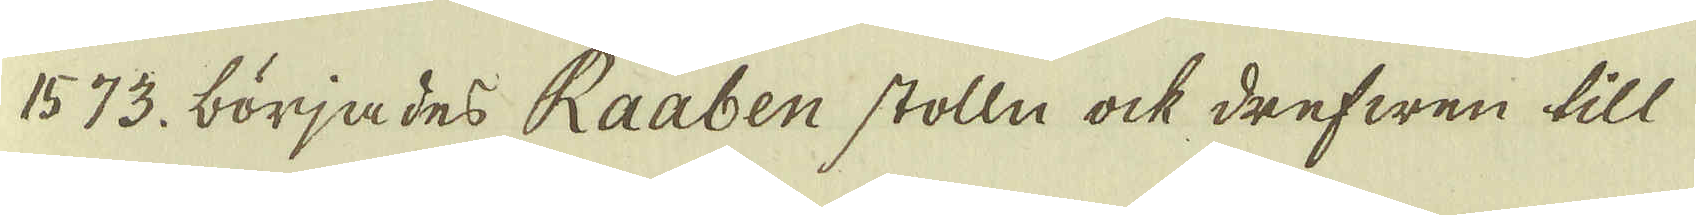1573. börjades Raaben stolln ock drefwen till
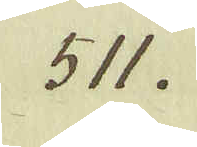511.
